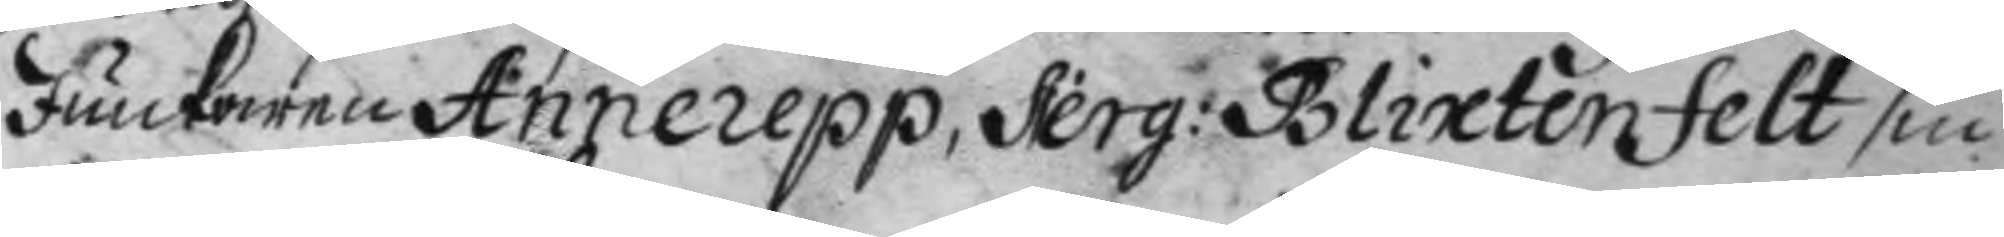Junckaren Annerepp, Serg: Blixtenfelt sin
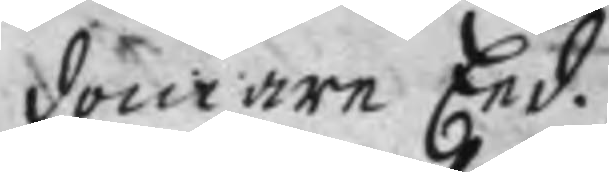domare Eed.
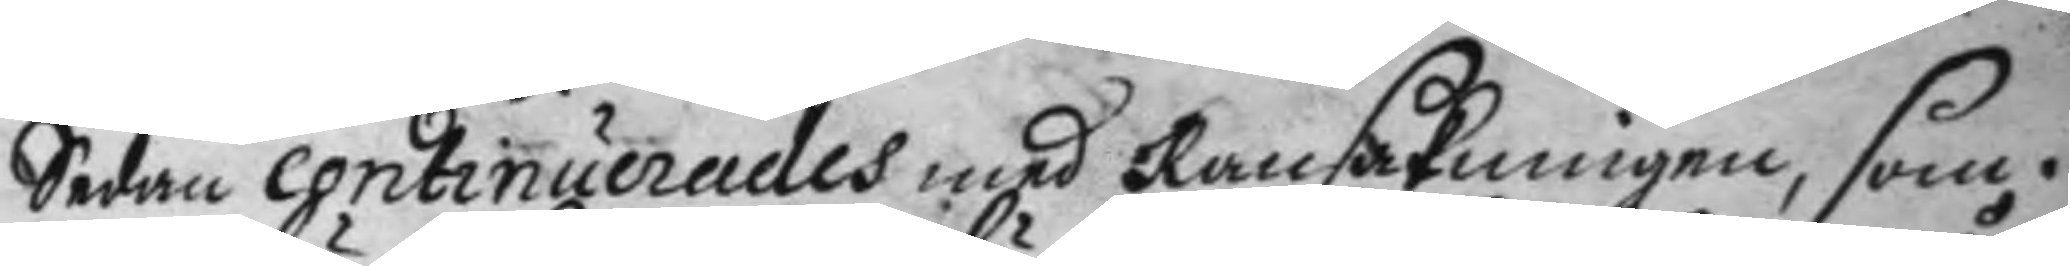Sedan continuerades med Ransakningen, som i
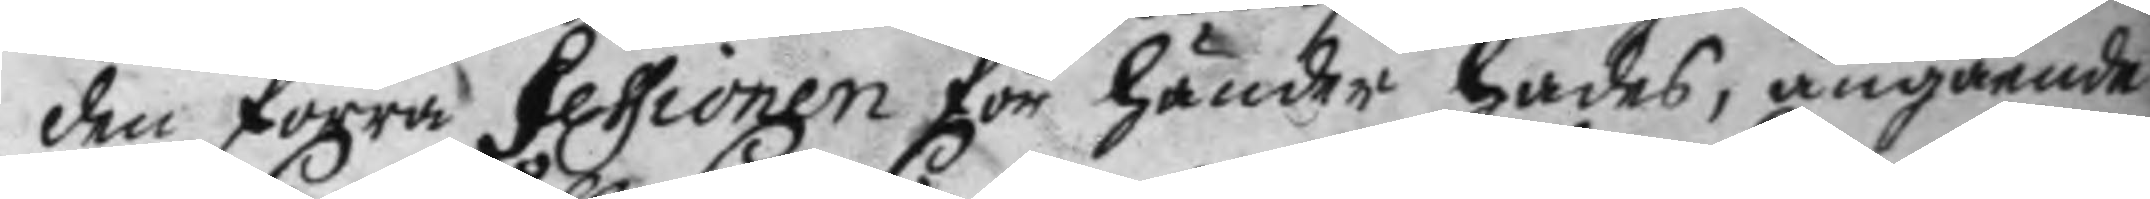den förra Sessionen för händer hades, angående
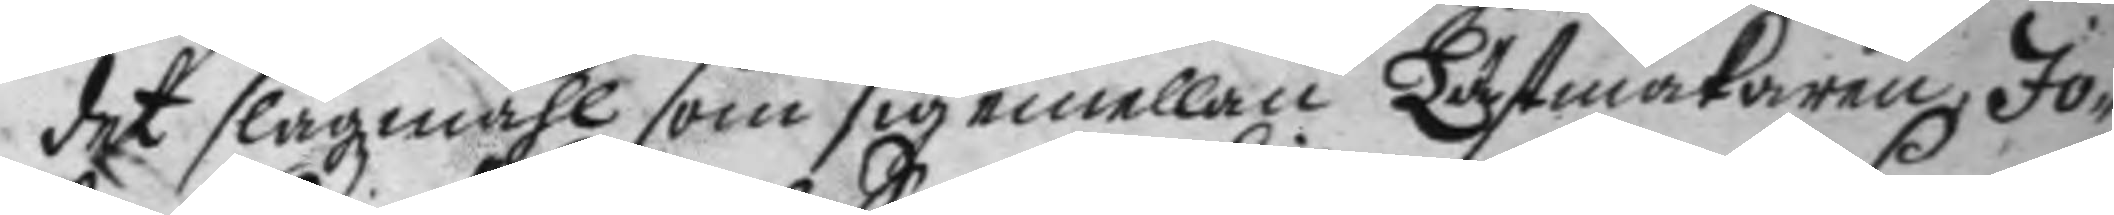det slagzmåhl som sig emellan Lästmakaren Jo¬
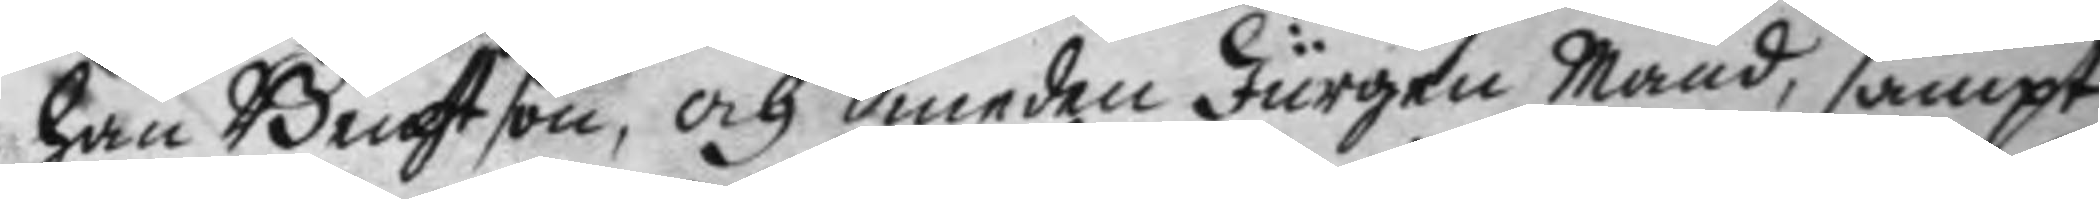han Bengtson, och Smeden Jurgen Mand, sampt
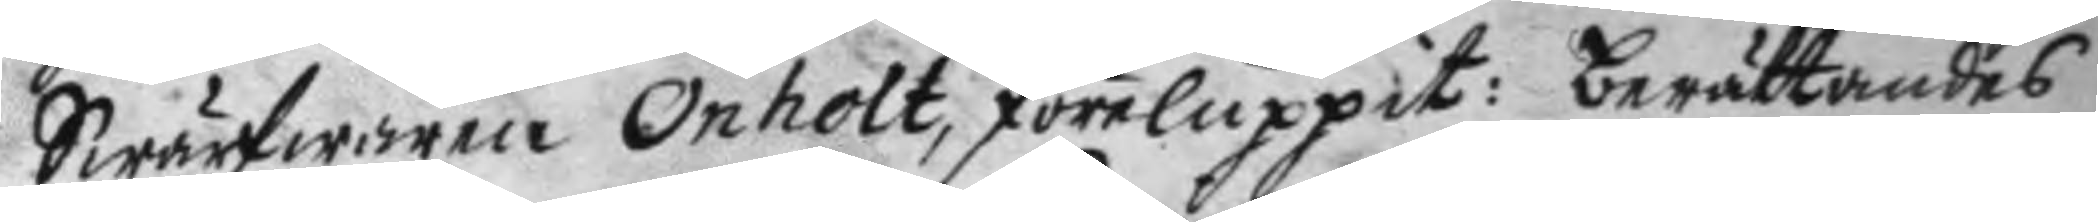Swärfwaren Onholt, föreluppit: berättandes
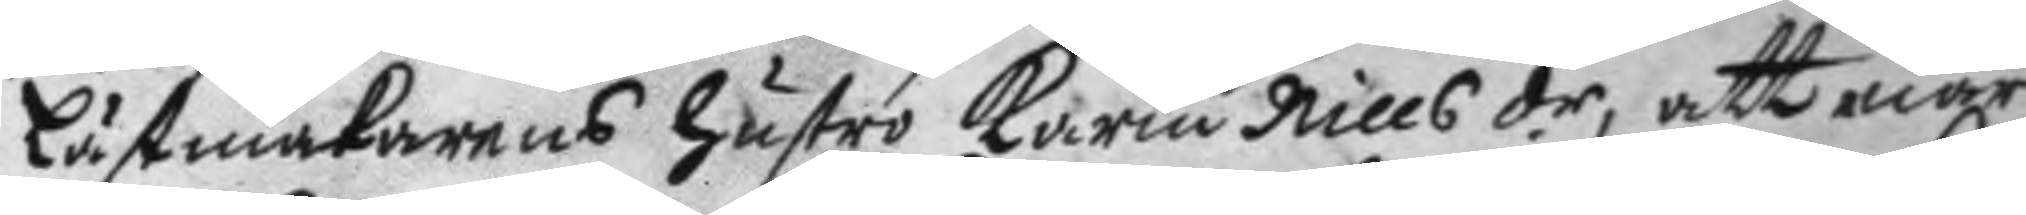Lästmakarens hsutru Karin Nillsdr, att enär
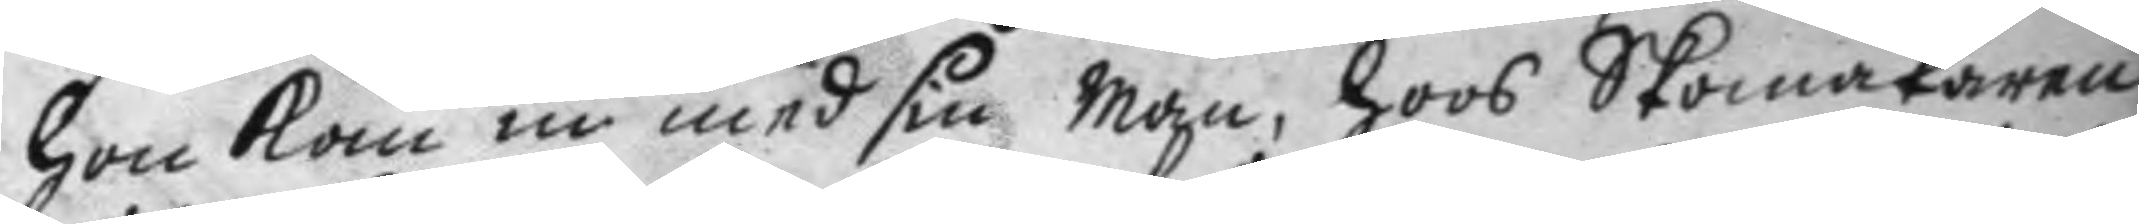hon kom in med sin Man, hoos Skomakaren
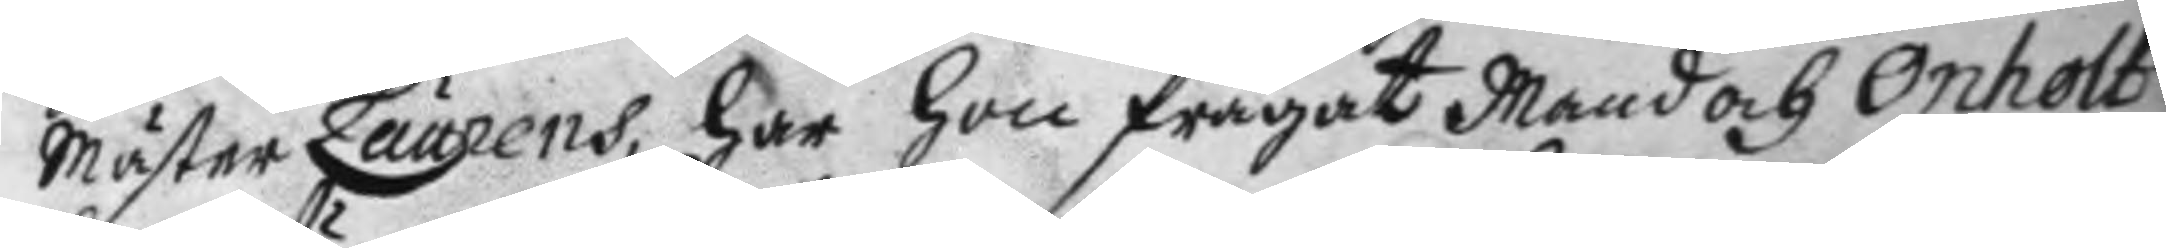Mäster Laurens, har hon frågat Mand och Onholt
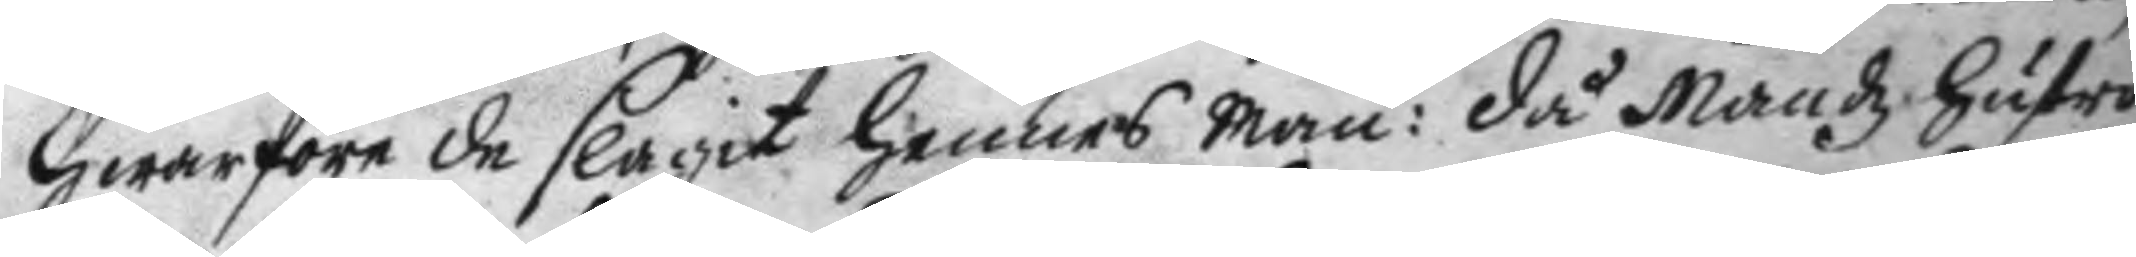hwarföre de slagit hennes man: då Mandz hustru
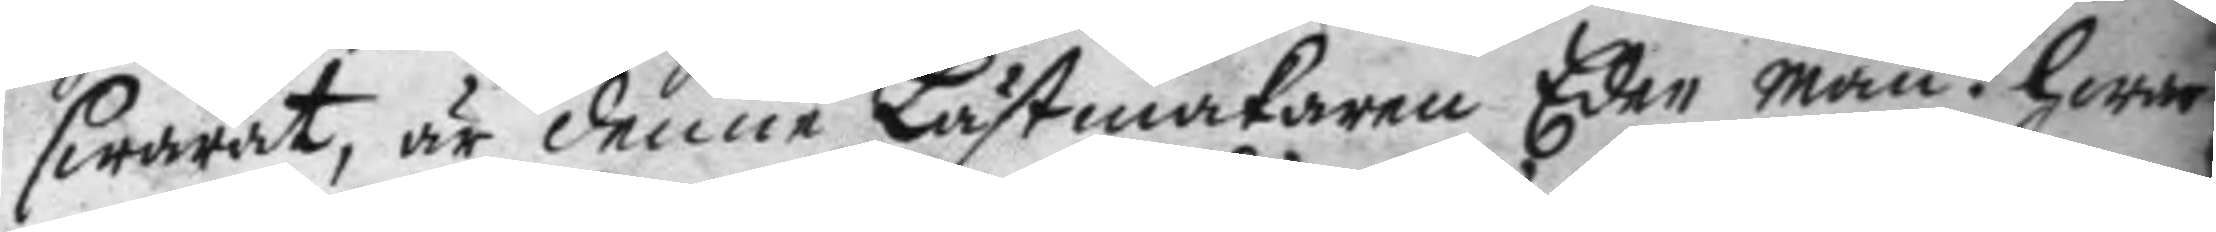swarat, är denne Lästmakaren Eder man? hwar
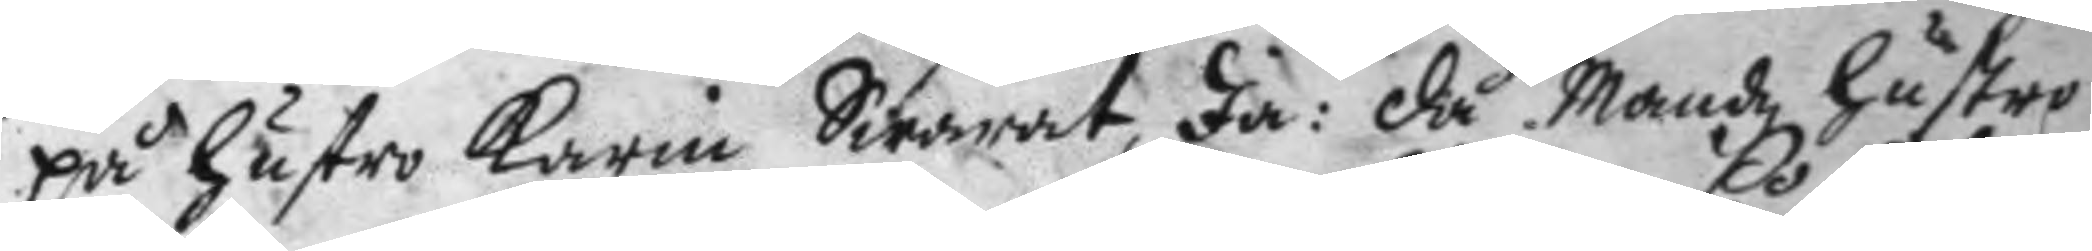på hustru Karin Swarat, Ja: då Mandz hustru
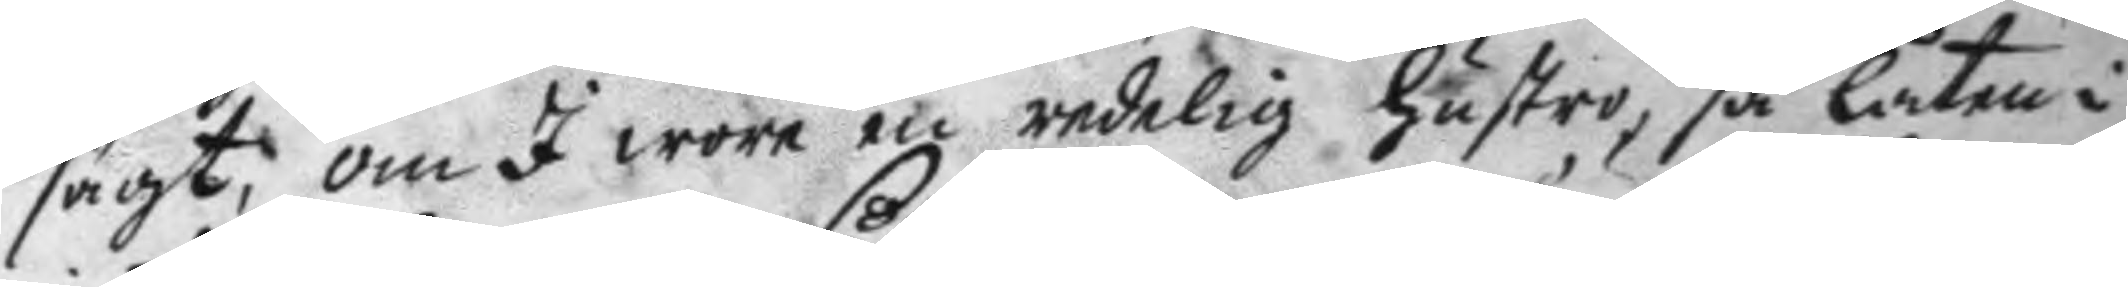sagt, om I wore en redelig hustru, så låten i
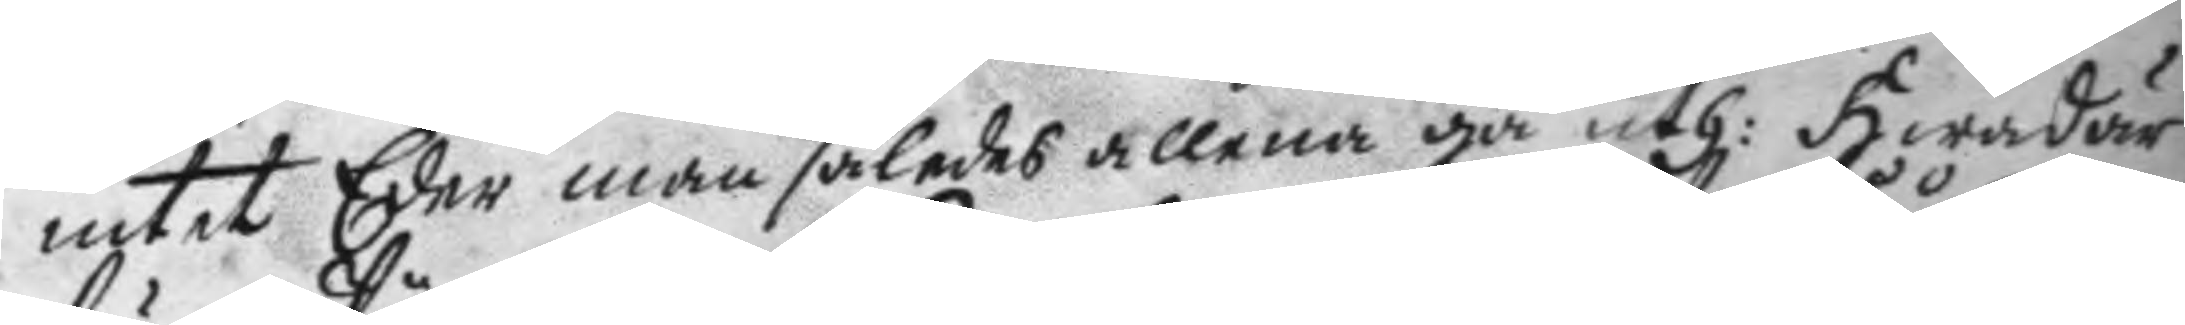intet Eder man således allena gå uth: Hwad är
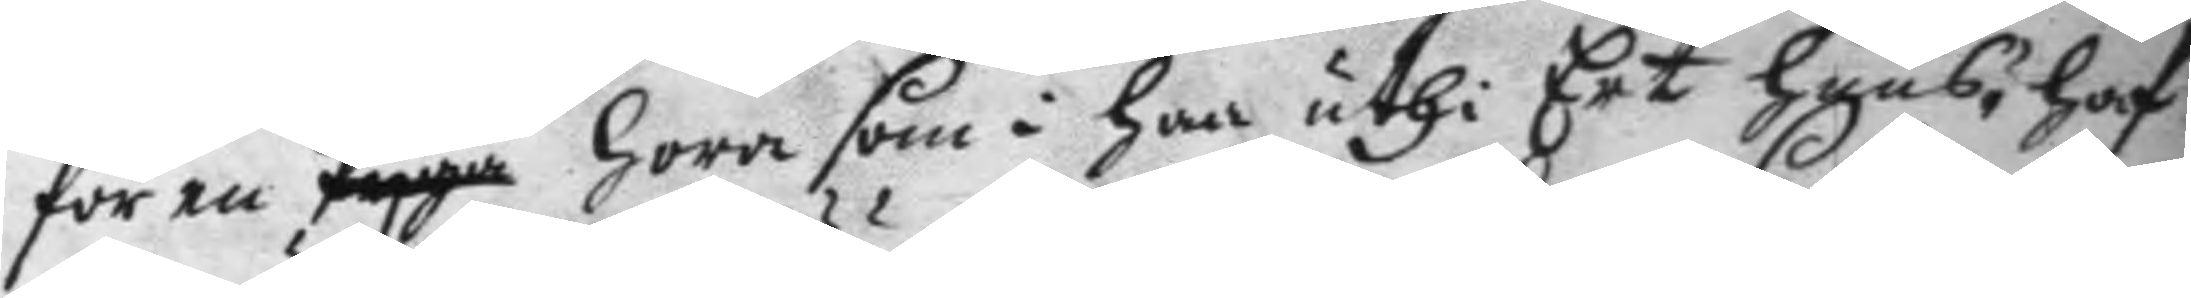för en Pyga hora som i har uthi Ert huus, haf
